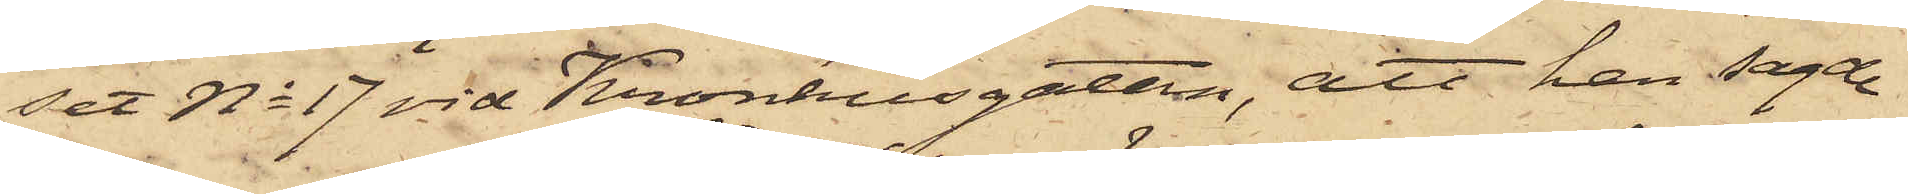set No 17 vid Kronhusgatan, att han sagde
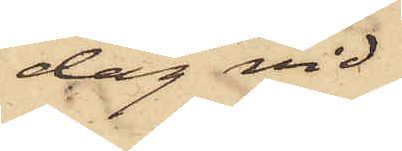dag vid
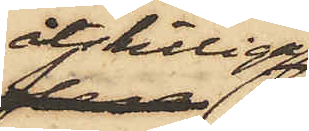åtskilliga
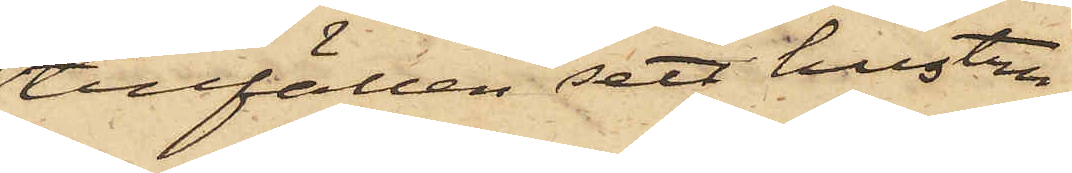tillfällen sett hustru
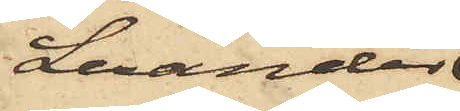Lexander
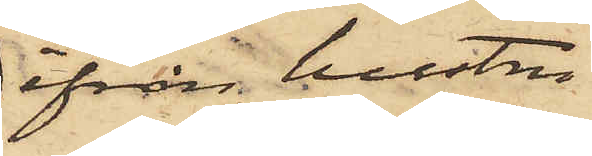ifrån hustru
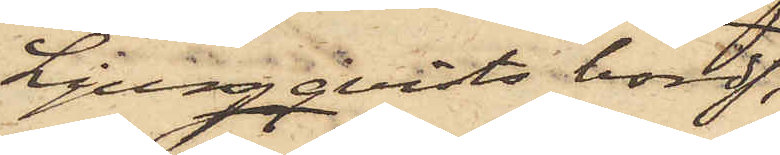Ljungqvists bord
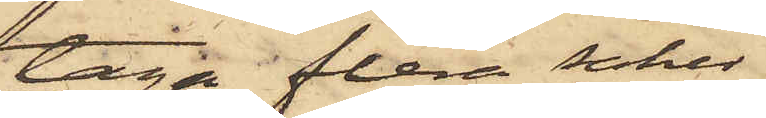taga flera saker,
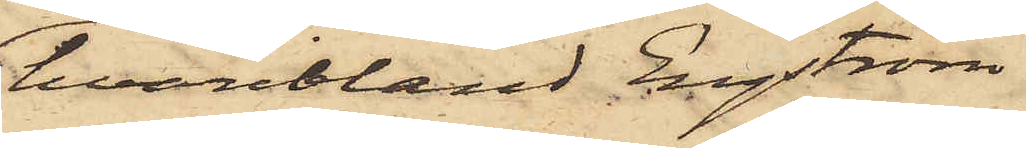hvaribland Engström
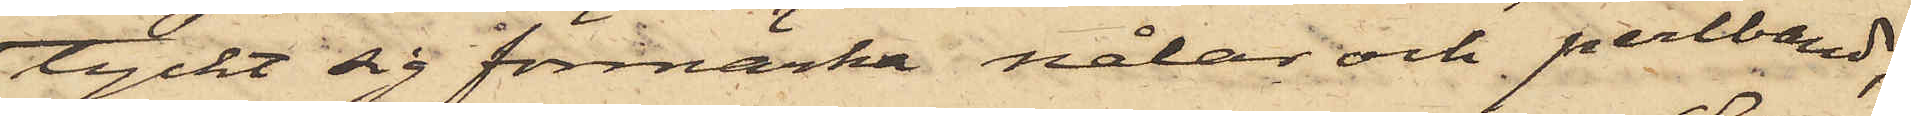tyckt sig förmärka nålar och perlband;
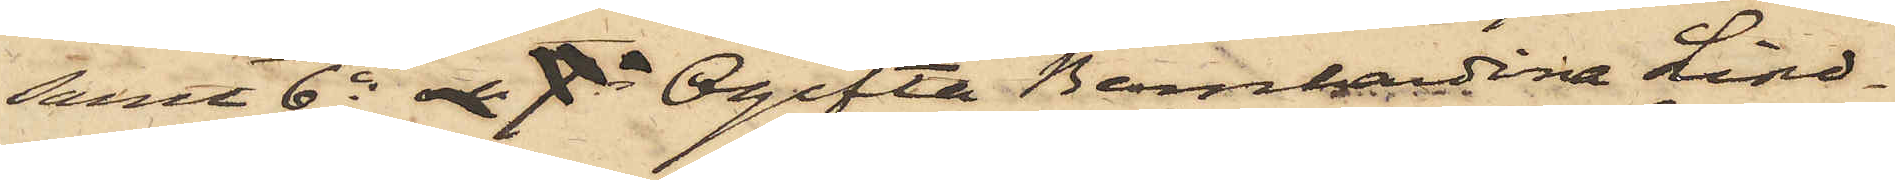samt 6o och 7o Ogifta Bernhardina Lind¬
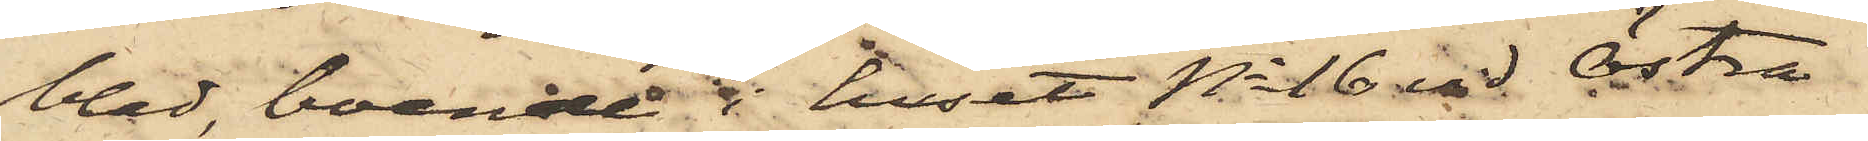blad, boende i huset No 16 vid Östra
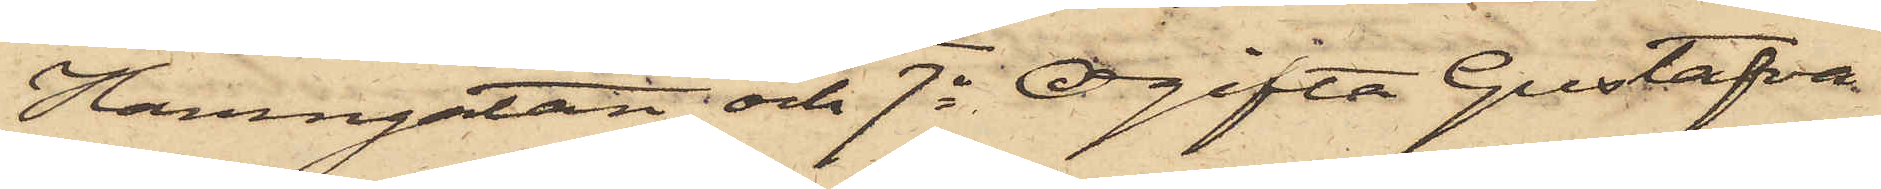Hamngatan och 7o Ogifta Gustafva
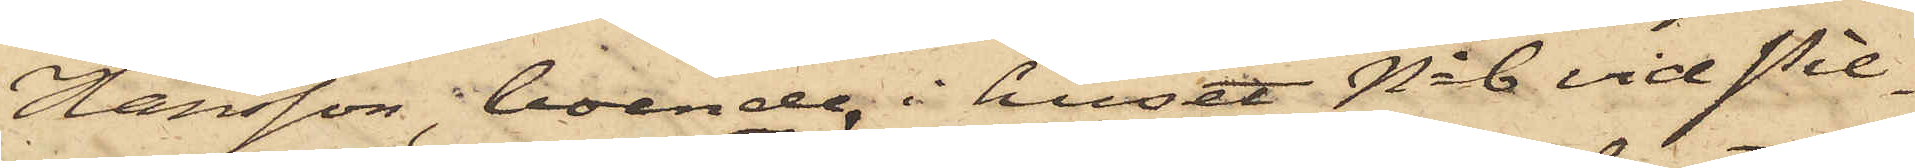Hansson, boende i huset No 6 vid Pil¬
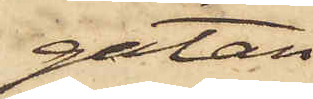gatan
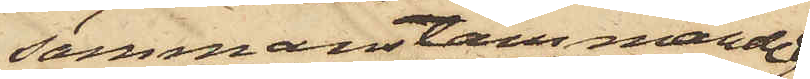sammanstämmande
